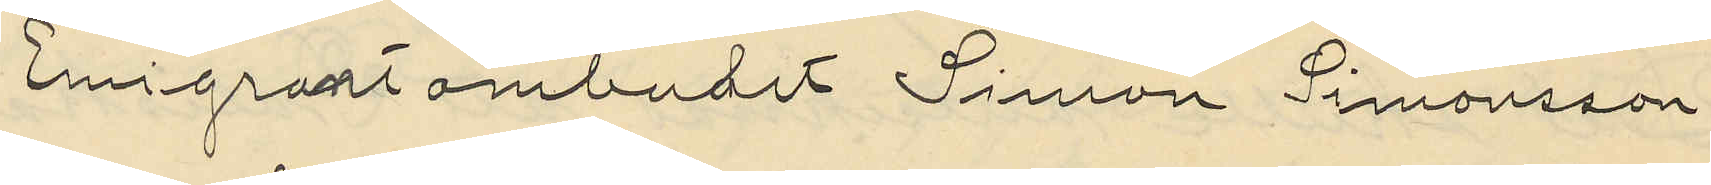Emigrantombudet Simon Simonsson
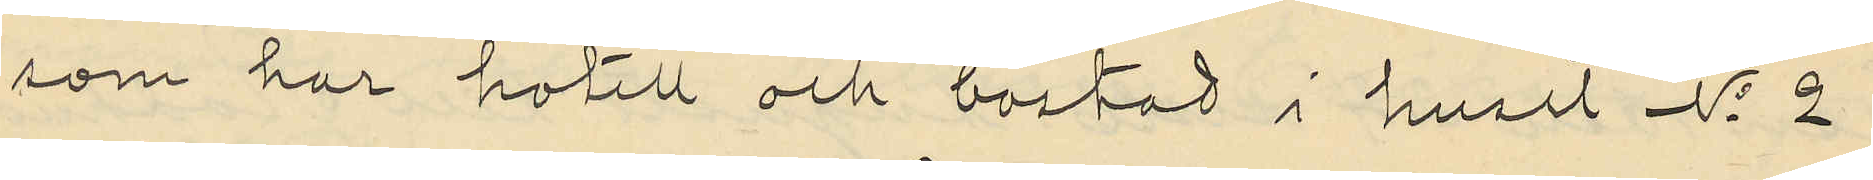som har hotell och bostad i huset No 2
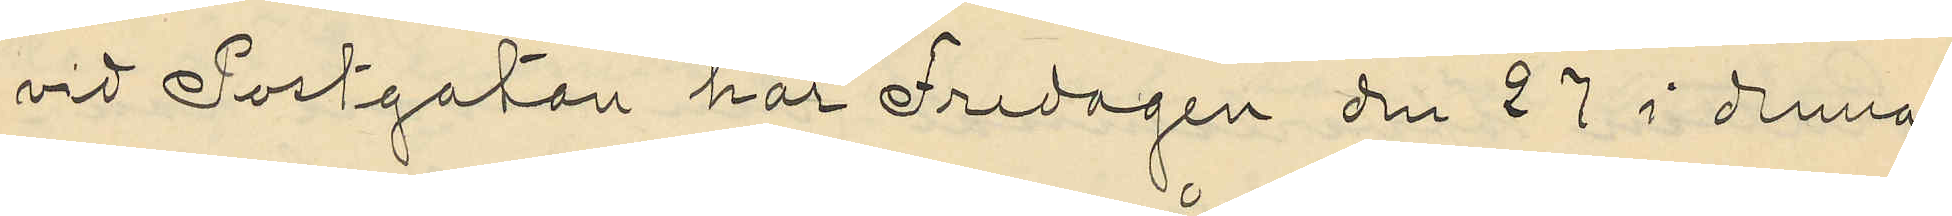vid Postgatan har Fredagen den 27 i denna
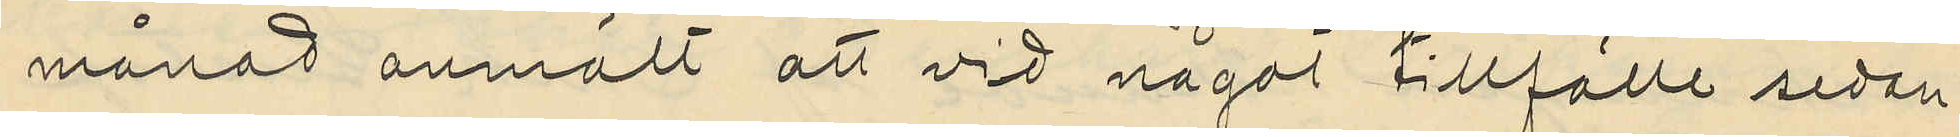månad anmält att vid något tillfälle sedan
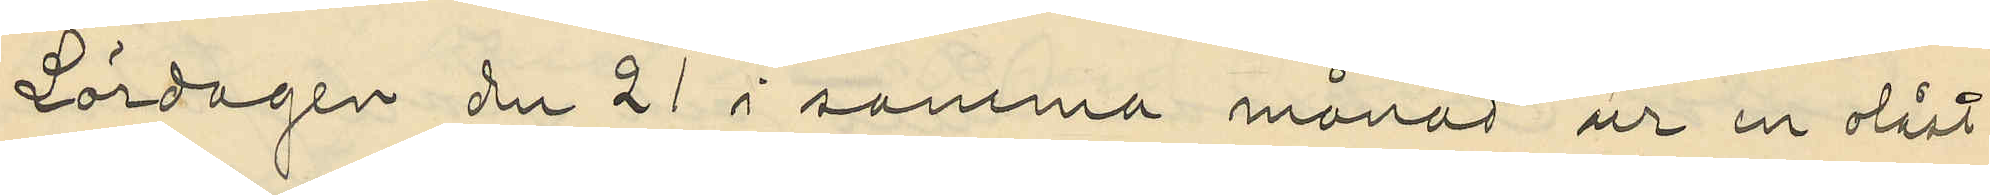Lördagen de 21 i samma månad ur en olåst
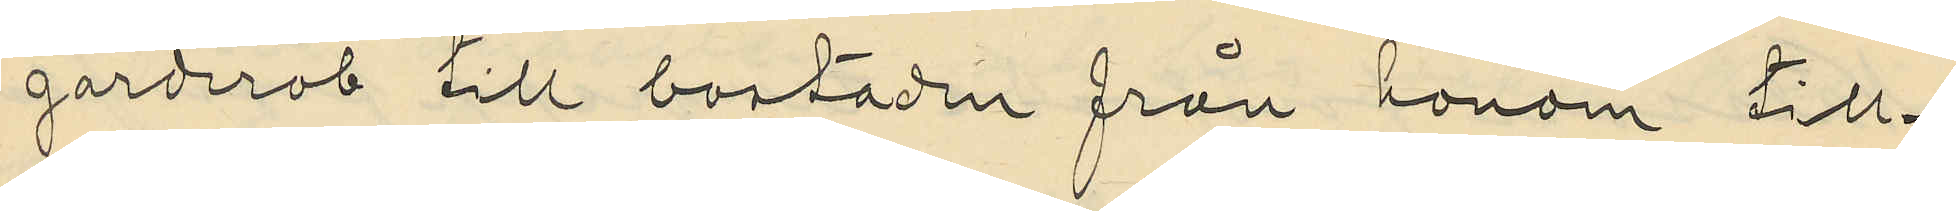garderob till bostaden från honom till¬
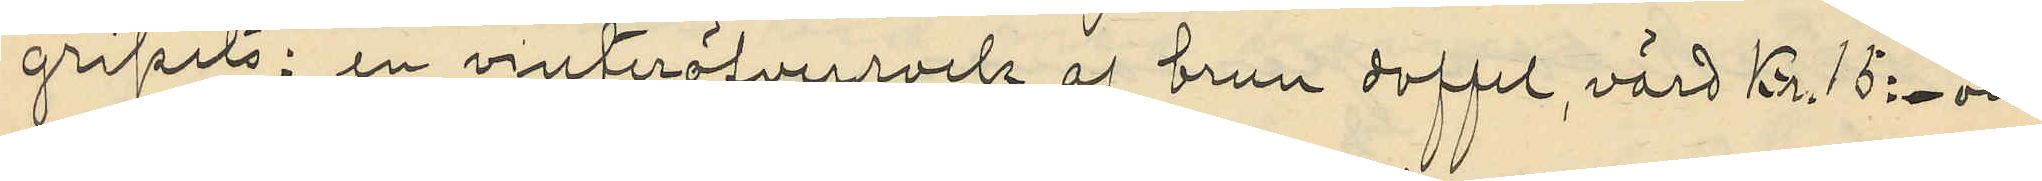gripits: en vinteröfverrock af brun doffel, värd Kr. 15:- och
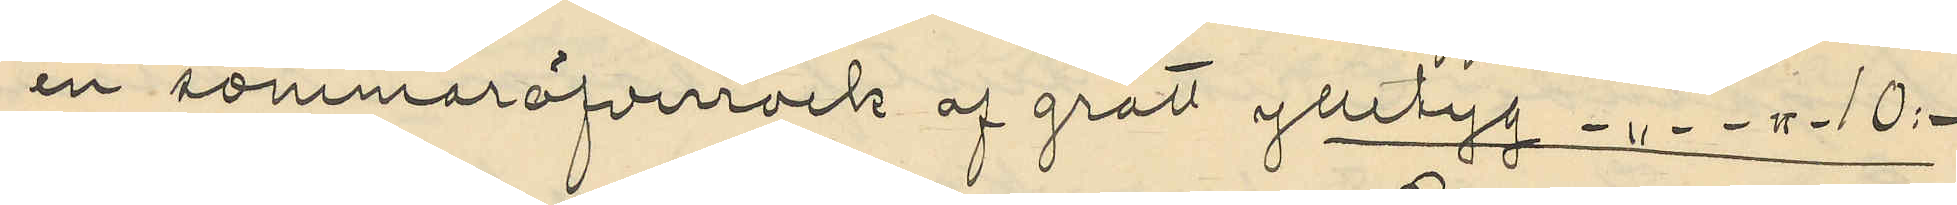en sommaröfverrock af grått ylltyg -"- -"- 10:-
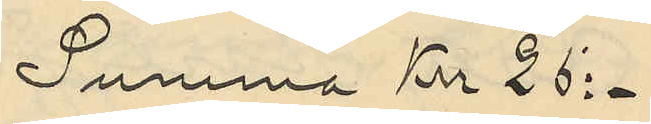Summa Kr 25:-
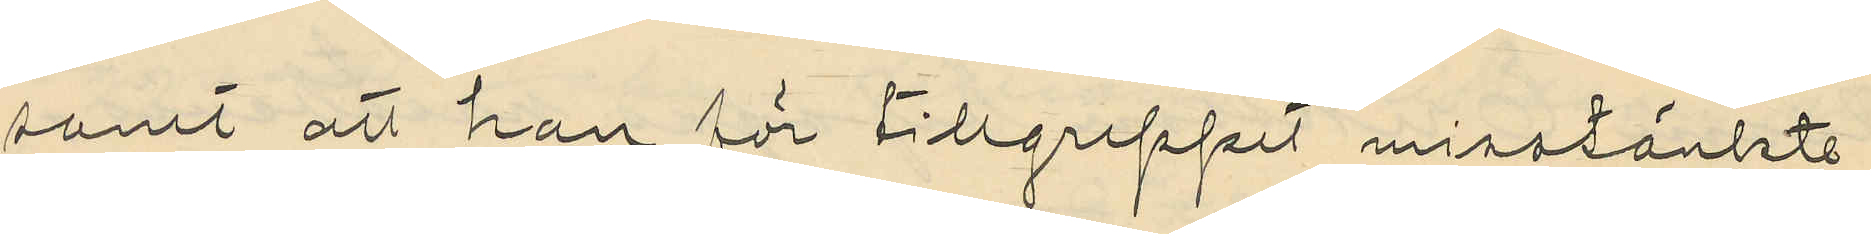samt att han för tillgreppet misstänkte
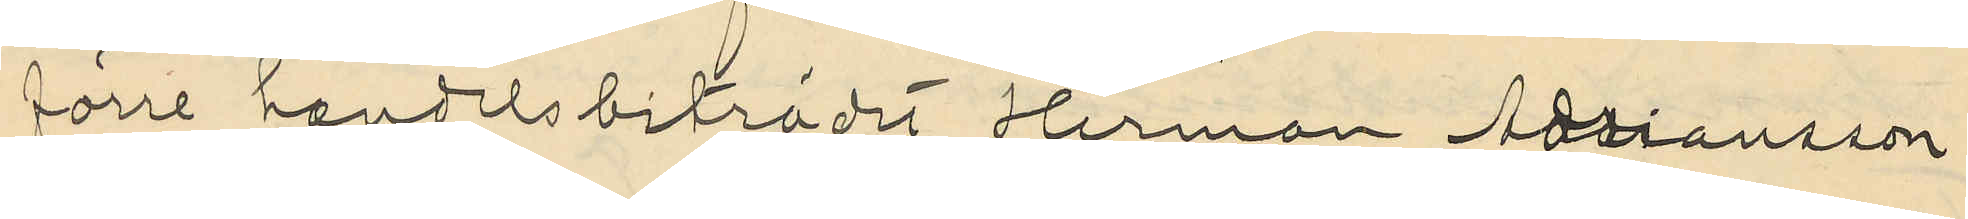förre handelsbiträdet Herman Adriansson
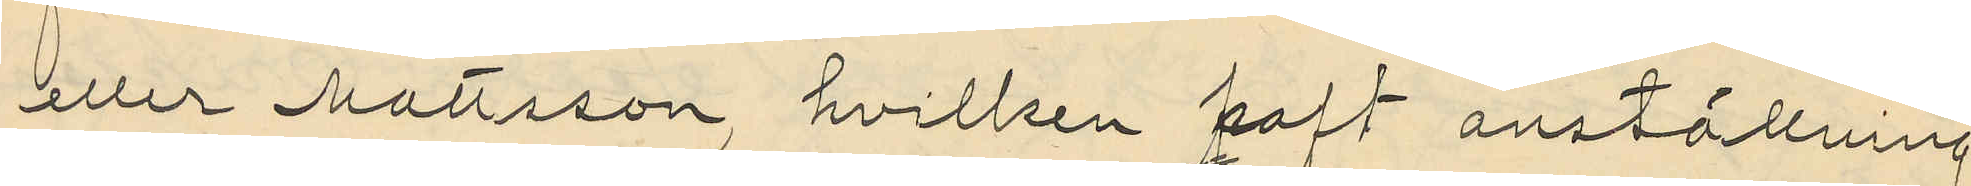eller Mattsson, hvilken haft anställning
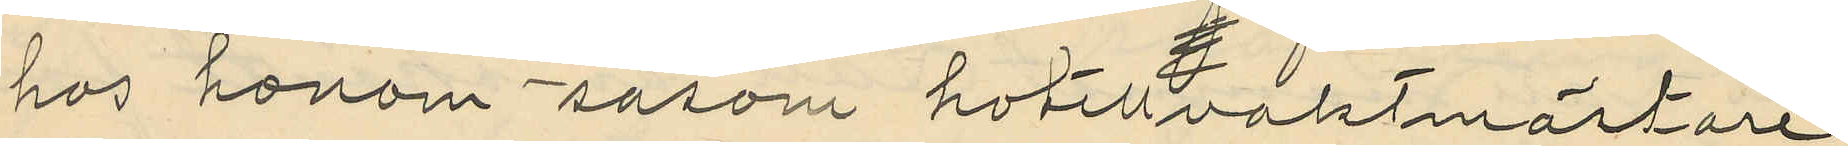hos honom såsom hotellvaktmästare
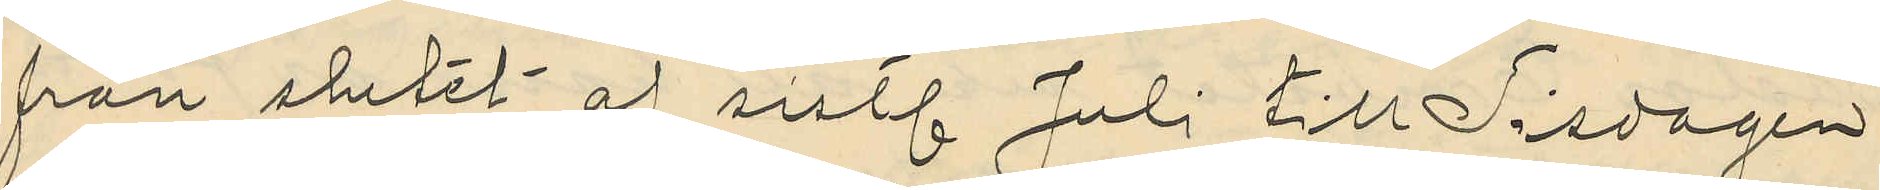från slutet af sistl. Juli till Tisdagen
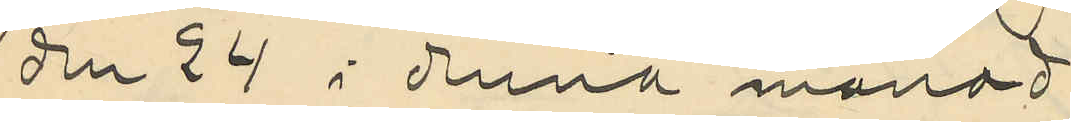den 29 i denna månad
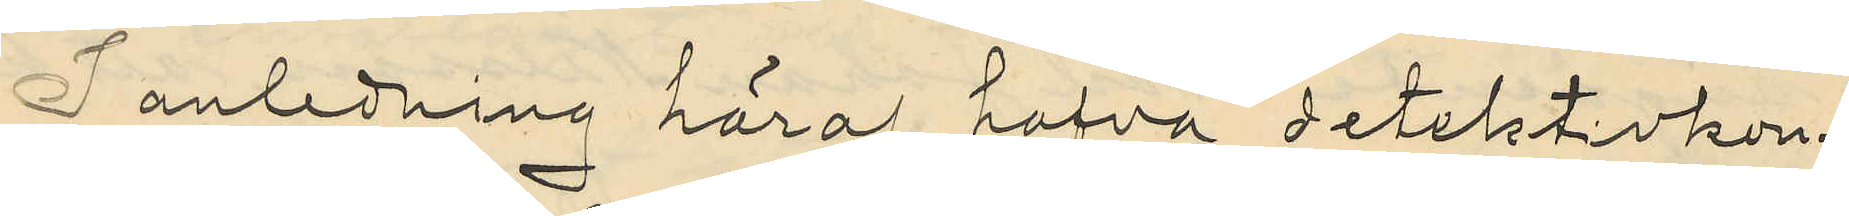I anledning häraf hafva detektivkon¬
